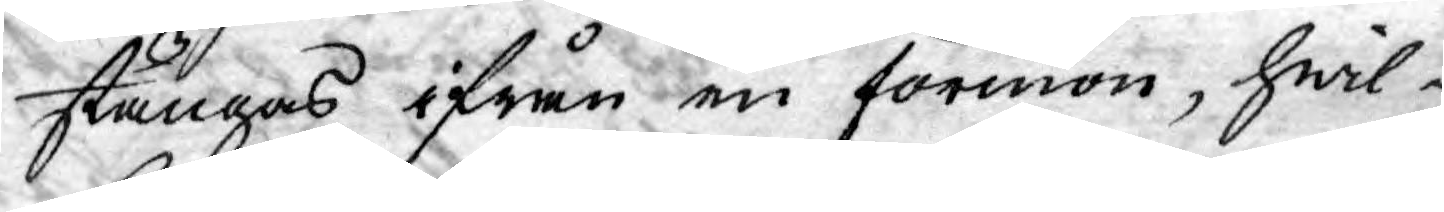stängas ifrån en förmon, hwil¬
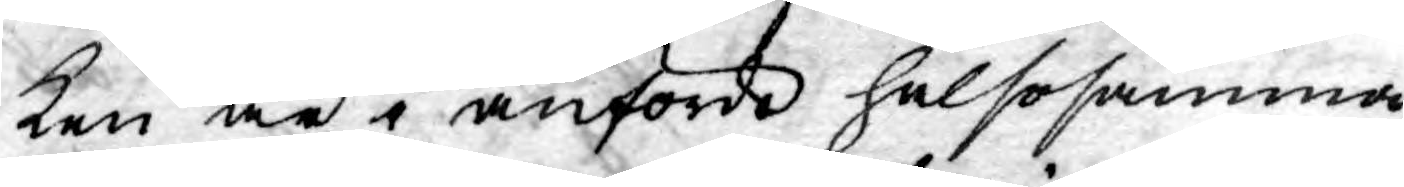ken är i anförde hälsosamma
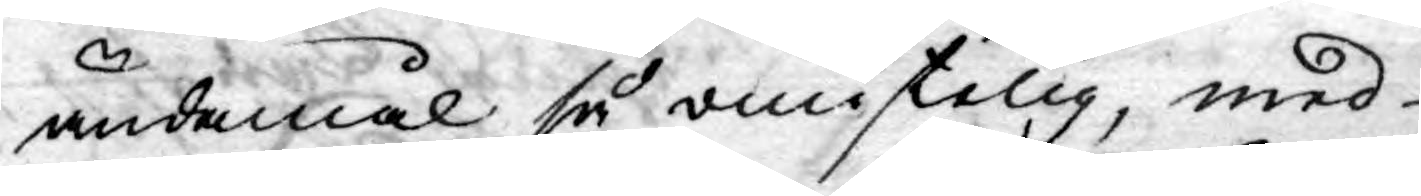ändamål så omistelig, med
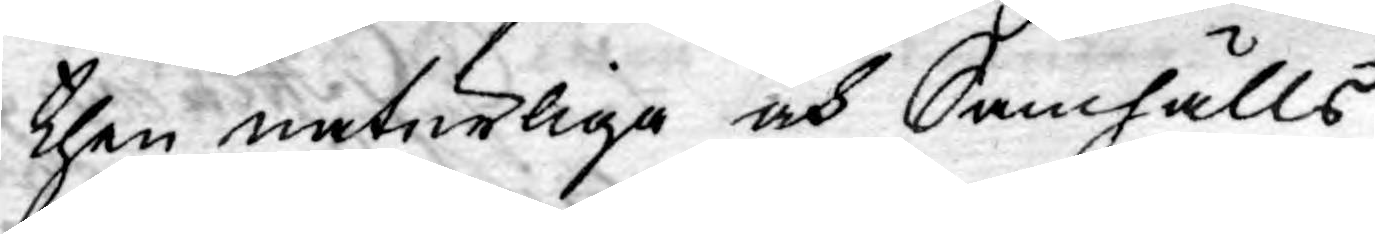then naturliga och Samhälls
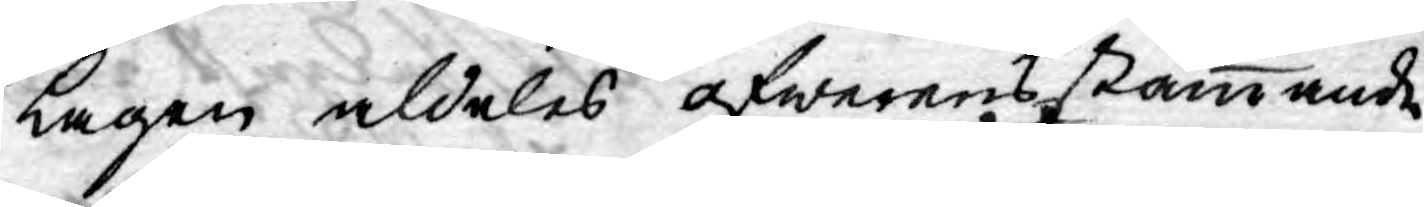Lagen aldeles öfwerensstämmande,
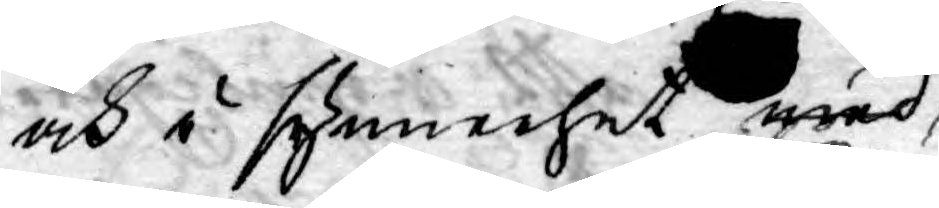och i synnerhet med,
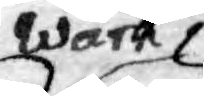Wårt
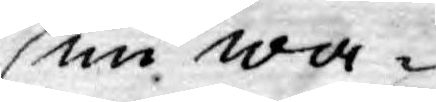nu wa¬
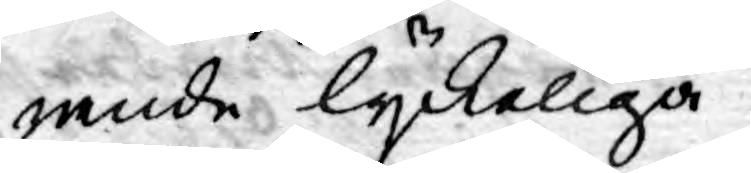rande lyckeliga
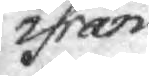ifrån
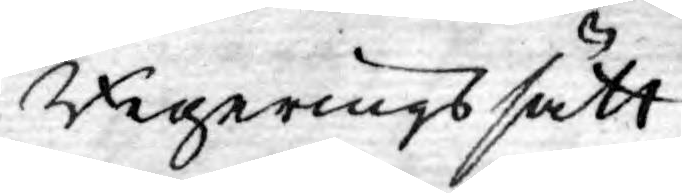Regerings sätt
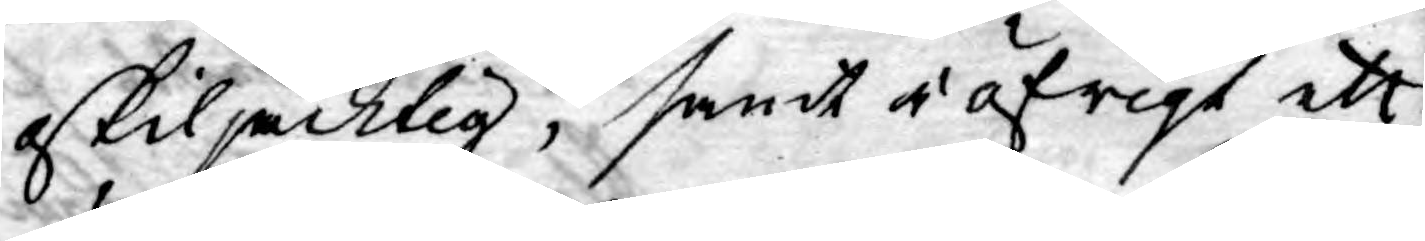oskiljacktig, samt i öfrigt ett
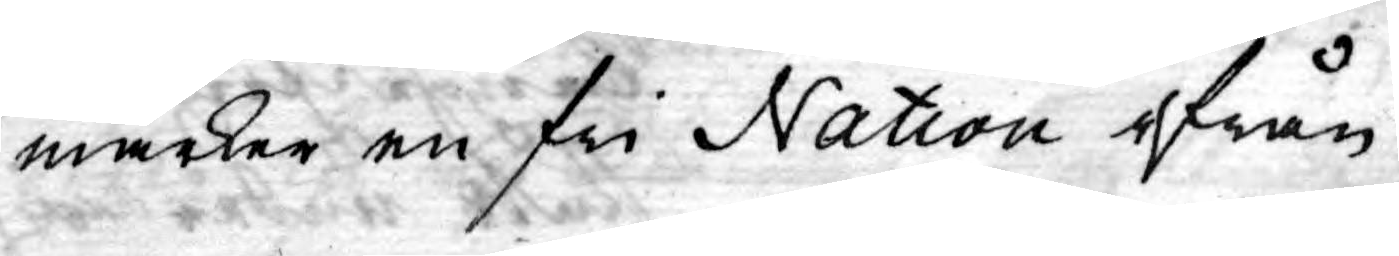märker en fri Nation ifrån
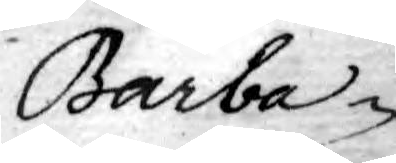Barba-
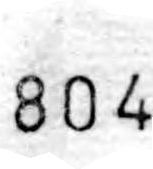804
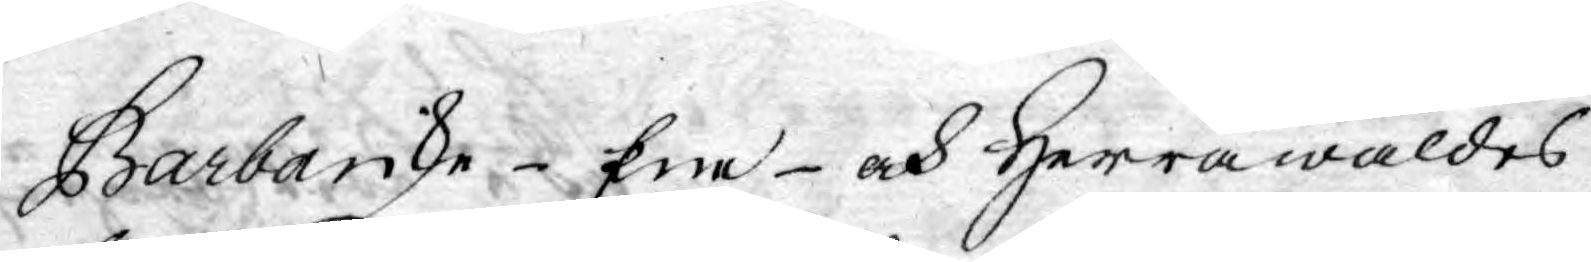Barbariske- Ere- och Herrawäldes
